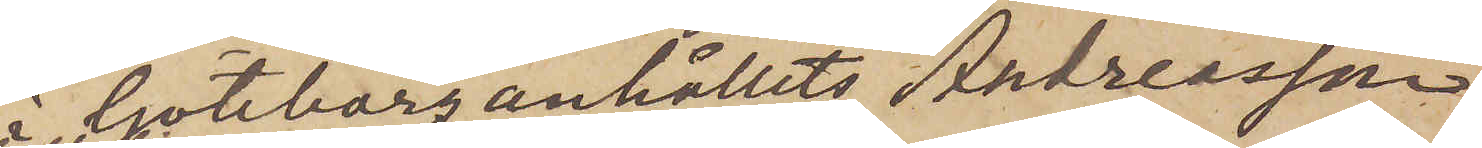i Göteborg anhållits, Andreasson
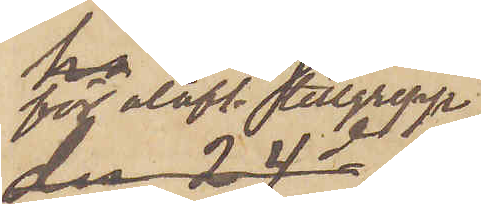för olofl. tillgrepp
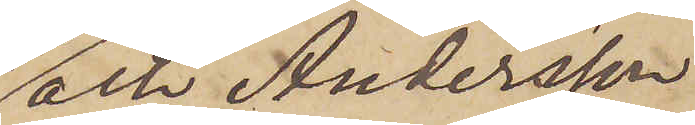och Andersson
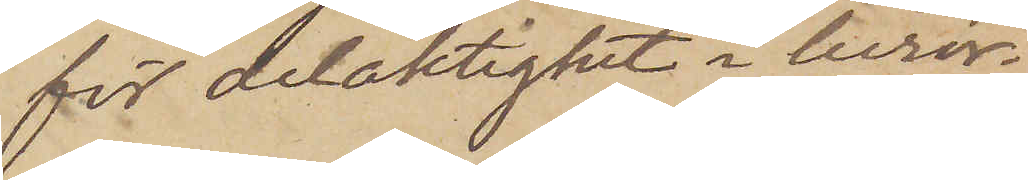för delaktighet i berör¬
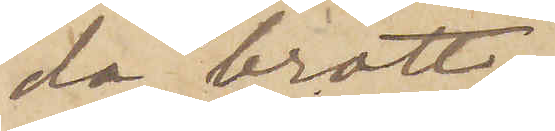da brott.
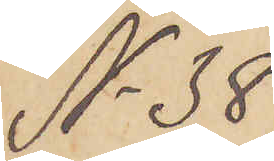No 38
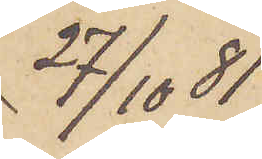 27/10  81
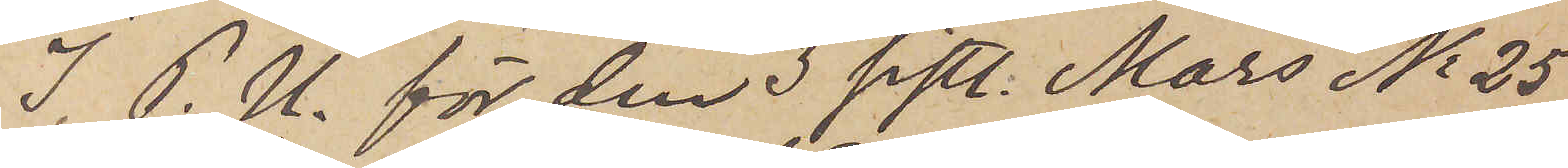I P.U. för den 3 sistl. Mars No 25
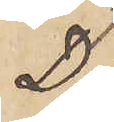D.
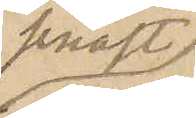senast
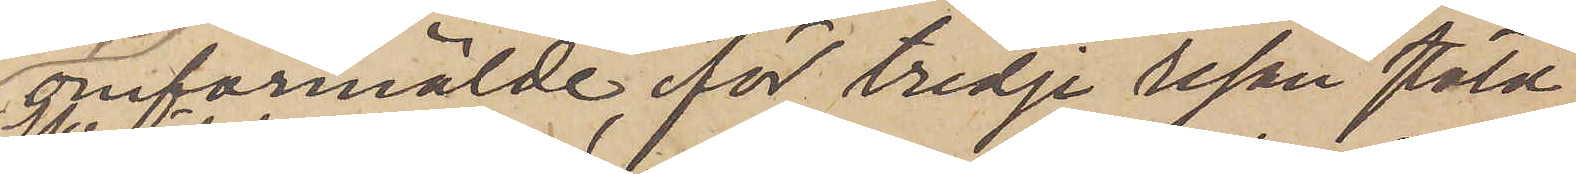omförmälde för tredje resan stöld
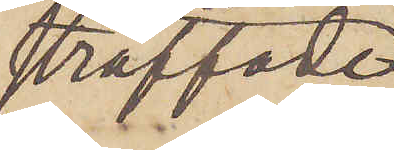straffade
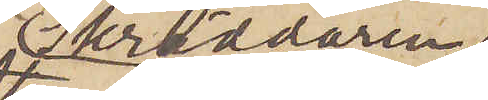Skräddaren
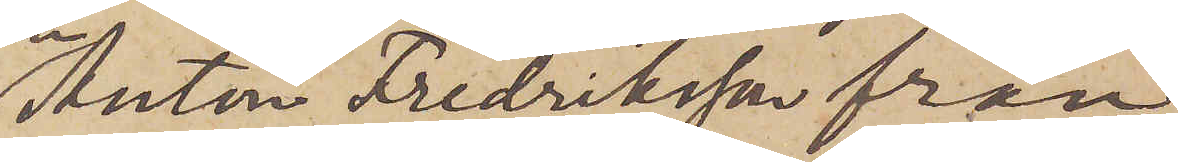Anton Fredriksson från
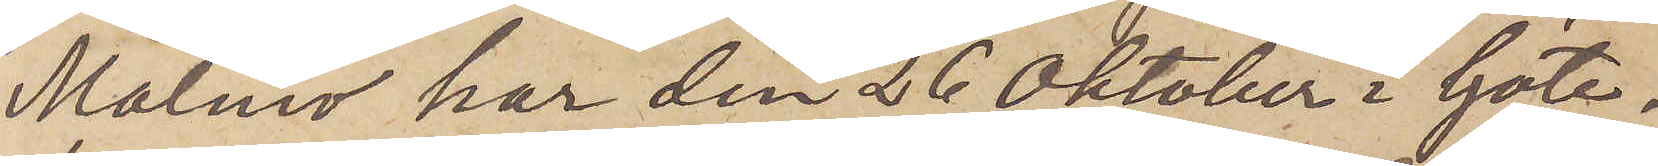Malmö har den 26 Oktober i Göte¬
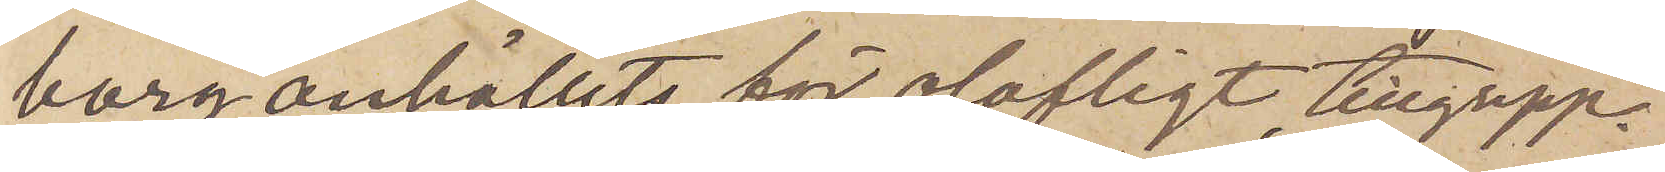borg anhållits för olofligt tillgrepp.
